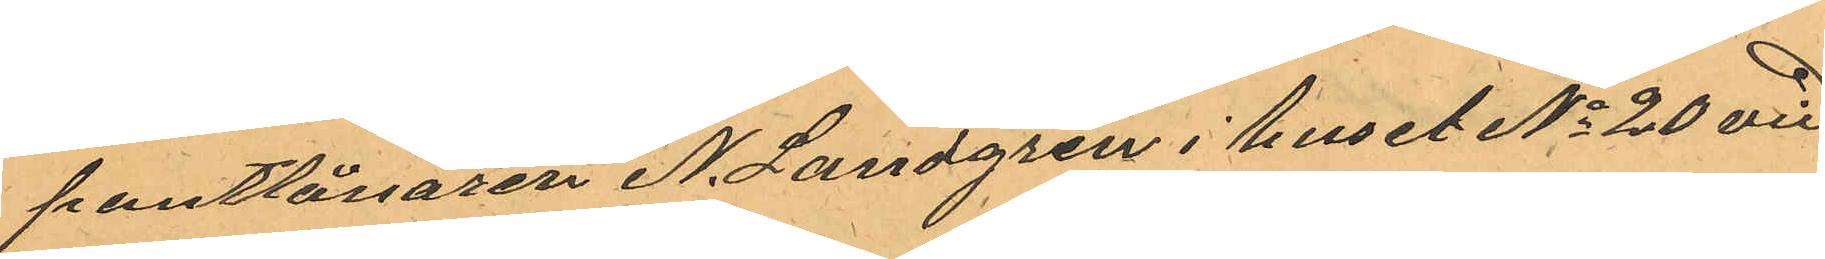pantlånaren N. Landgren i huset No 20 vid
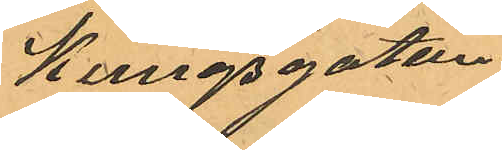Kungsgatan.
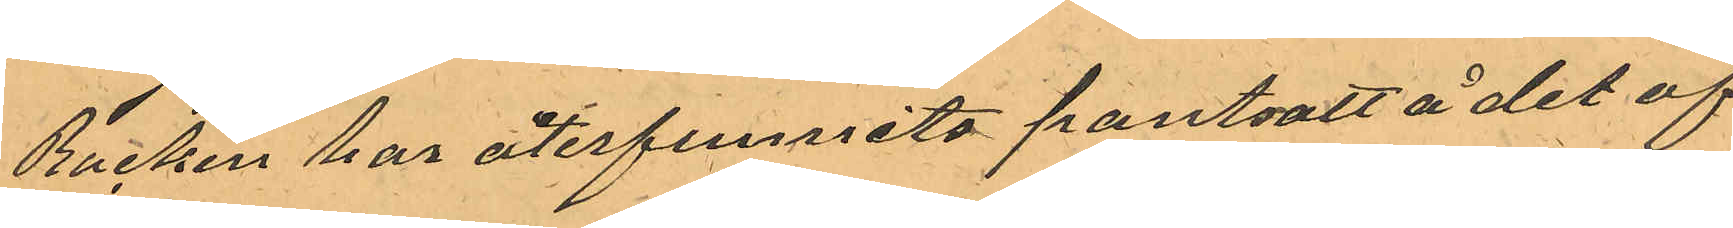Rocken har återfunnits pantsatt å det af
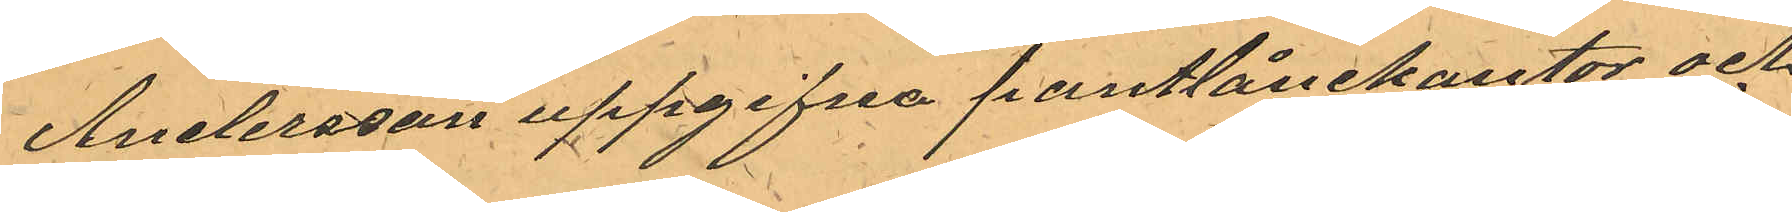Andersson uppgifna pantlånekontor och
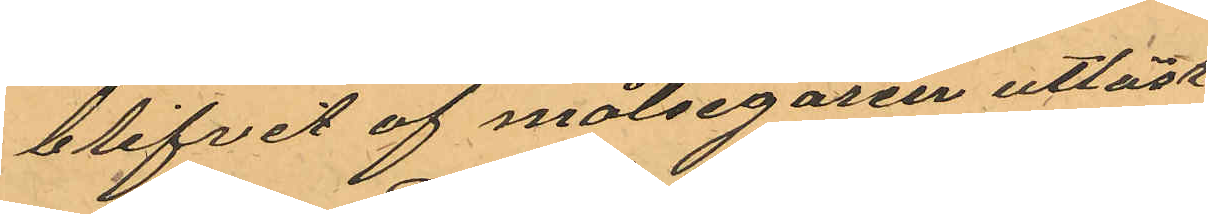blifvit af målsegaren utlöst
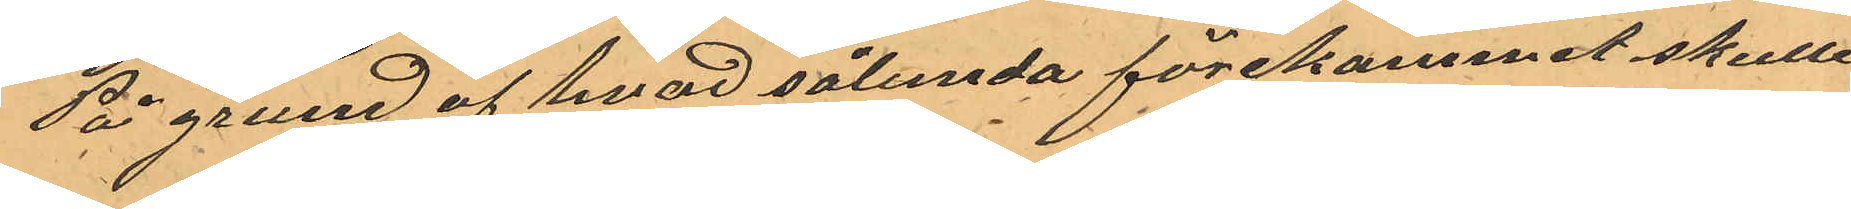På grund af hvad sålunda förekommit skulle
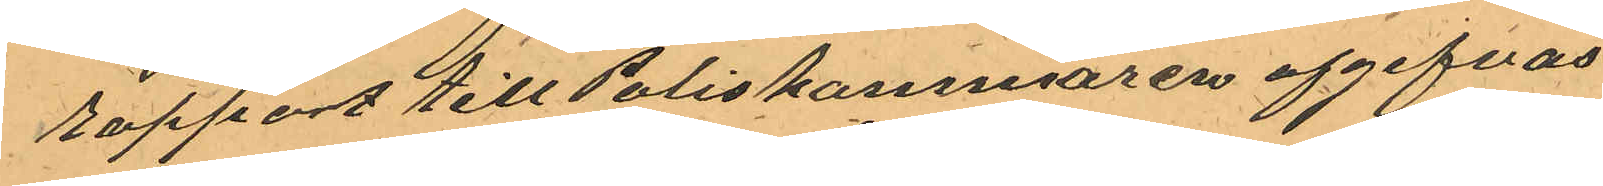rapport till Poliskammaren afgifvas.
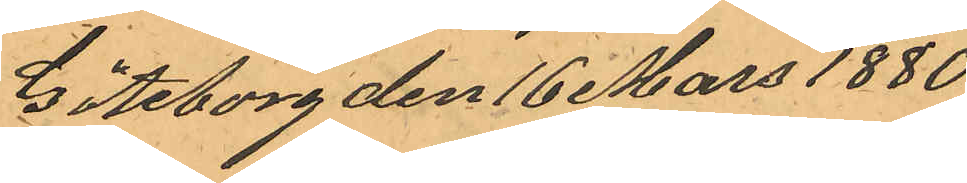Göteborg den 16 Mars 1880
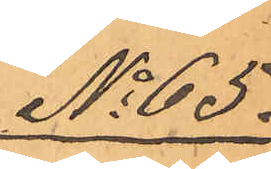No 65.
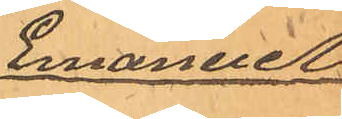Emanuel
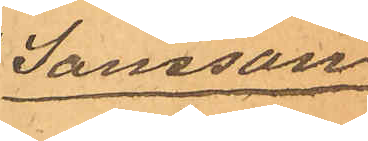Jansson
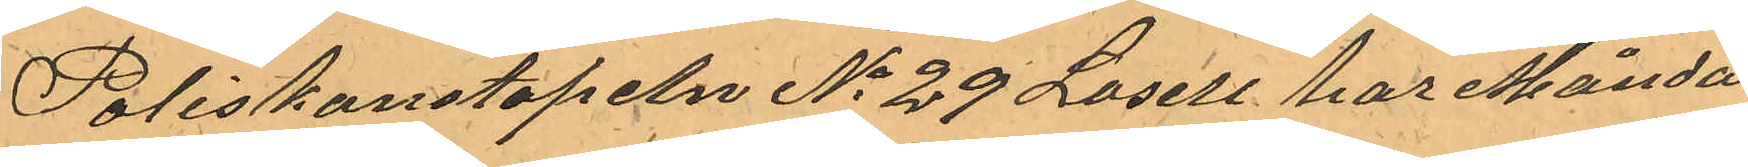Poliskonstapeln No 29 Losell har Månda¬
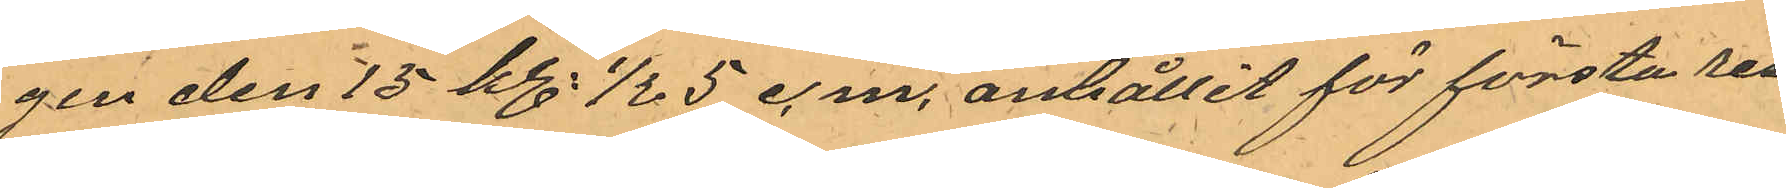gen den 15 kl. 1/2 5 e.m. anhållit för första resan
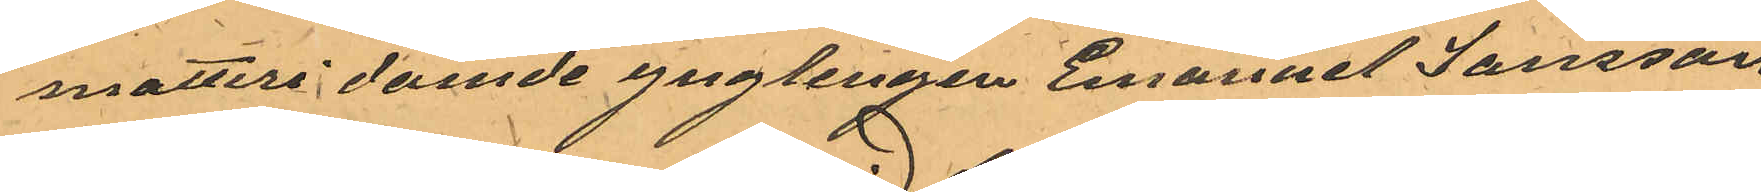snatteri dömde ynglingen Emanuel Jansson
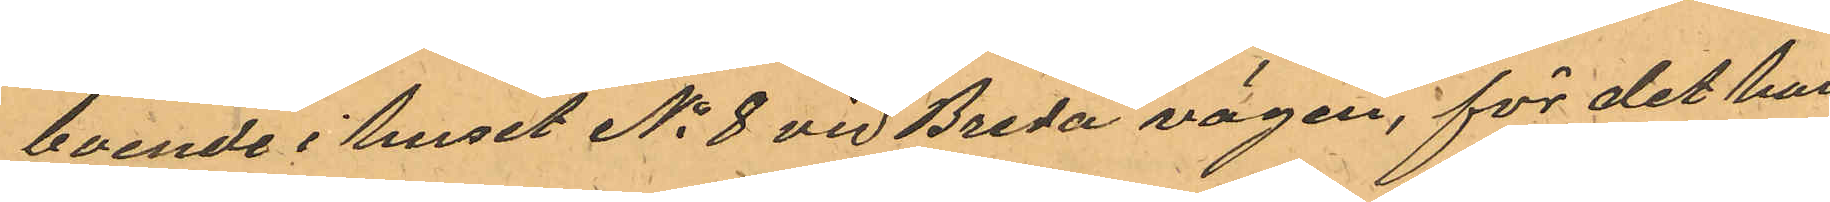boende i huset No 8 vid Breda vägen, för det han
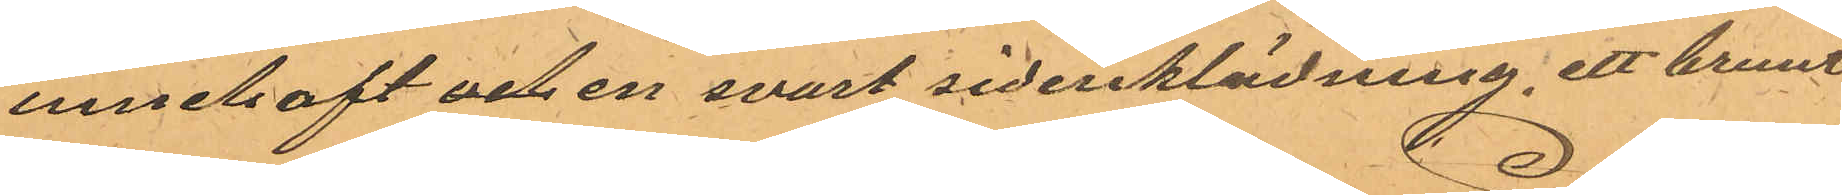innehaft och en svart sidenklänning, ett brunt
